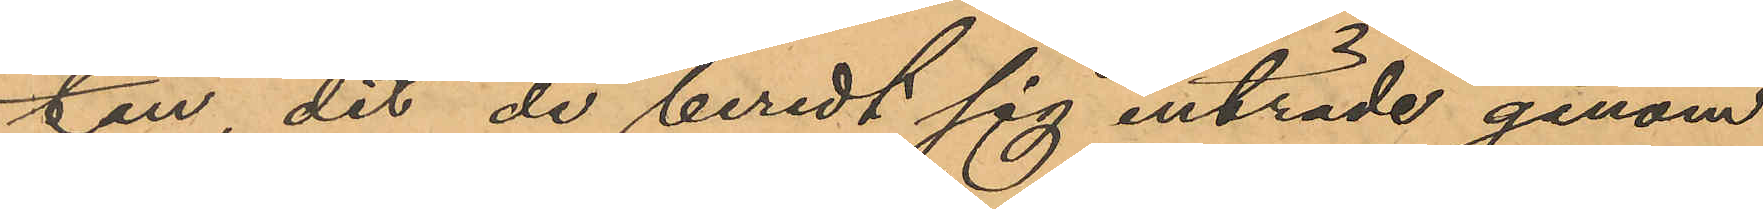ten dit de beredt sig inträde genom
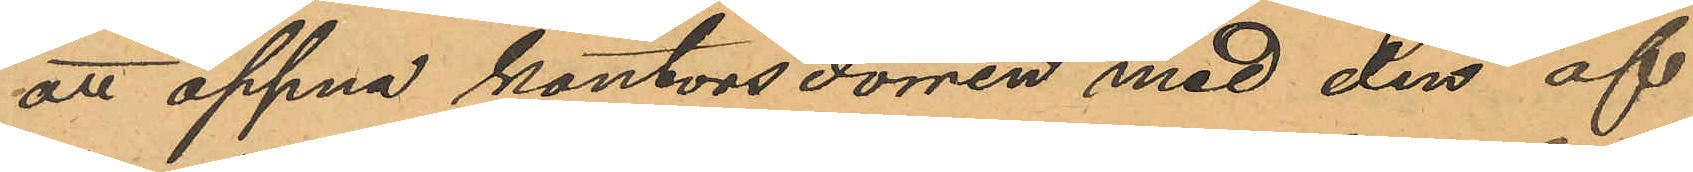att öppna kontorsdörren med den af
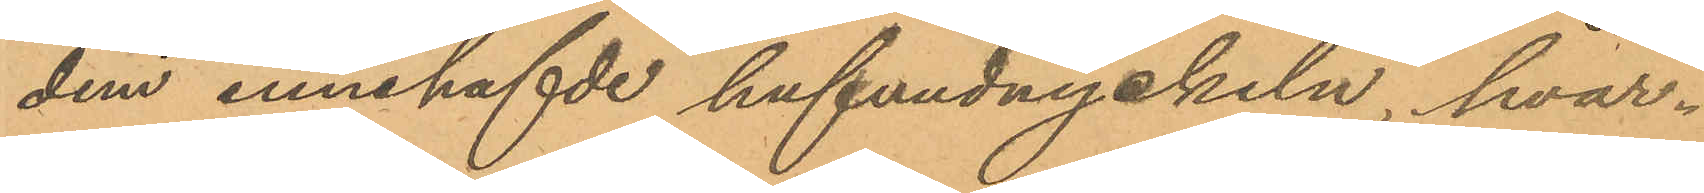dem innehafde hufvudnyckeln, hvar¬
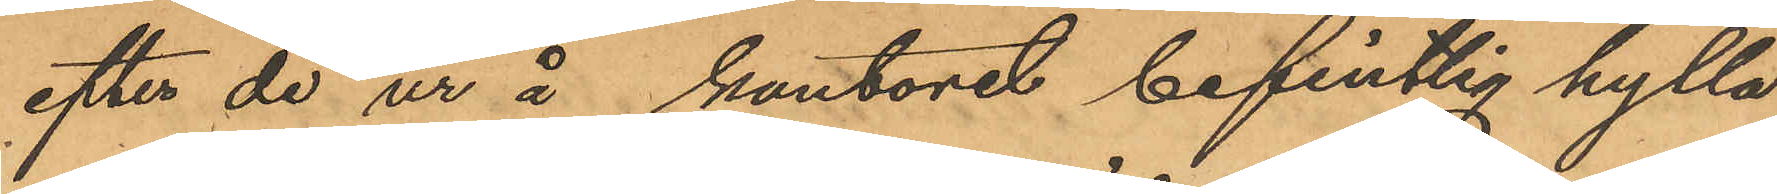efter de ur å kontoret befintlig hylla
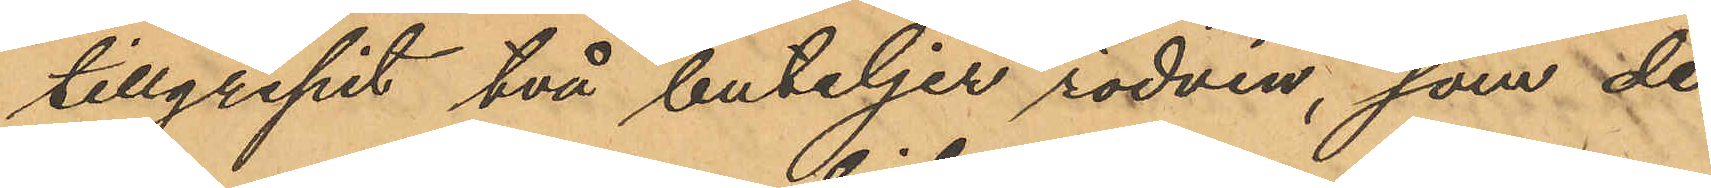tillgripit två buteljer rödvin, som de
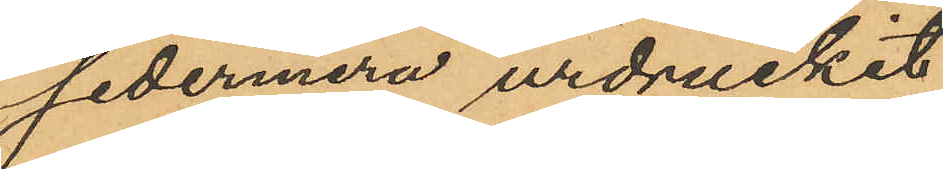sedermera urdruckit;
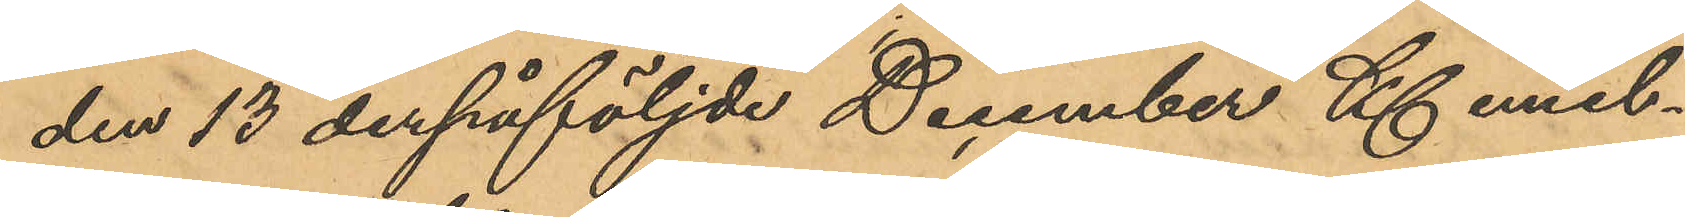den 13 derpåföljde December Kl emel¬
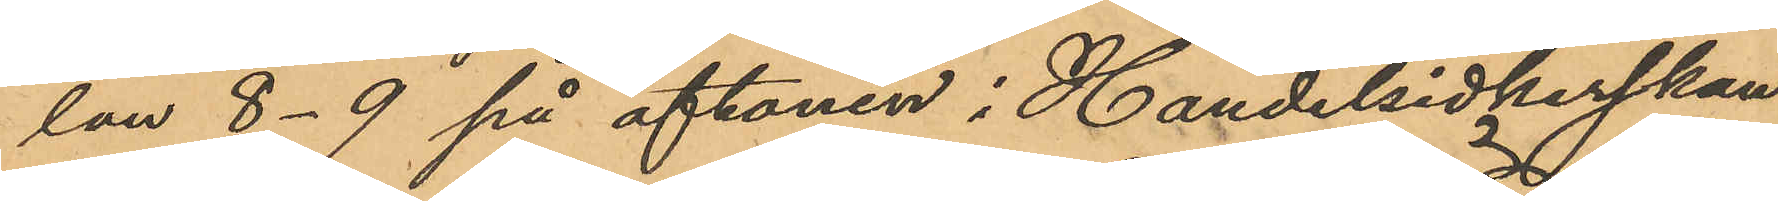lan 8-9 på aftonen i Handelsidkerskan
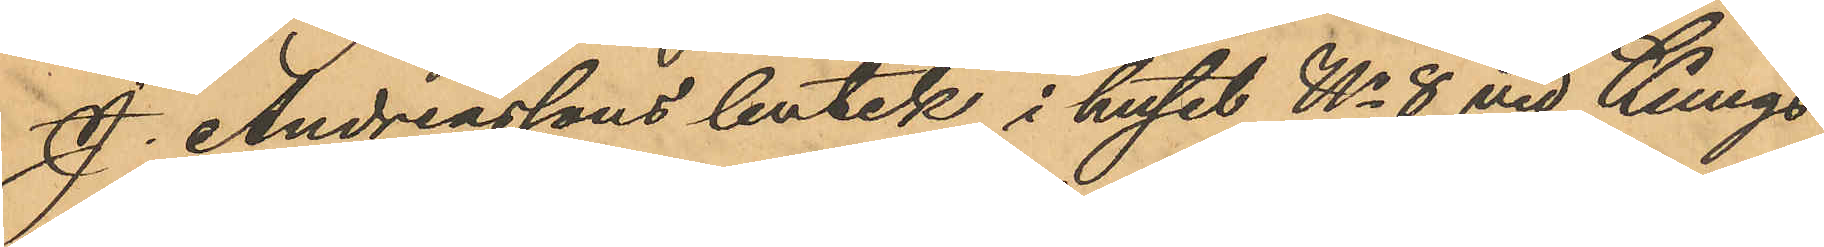J. Andreassons butik i huset No 8 vid Kungs¬
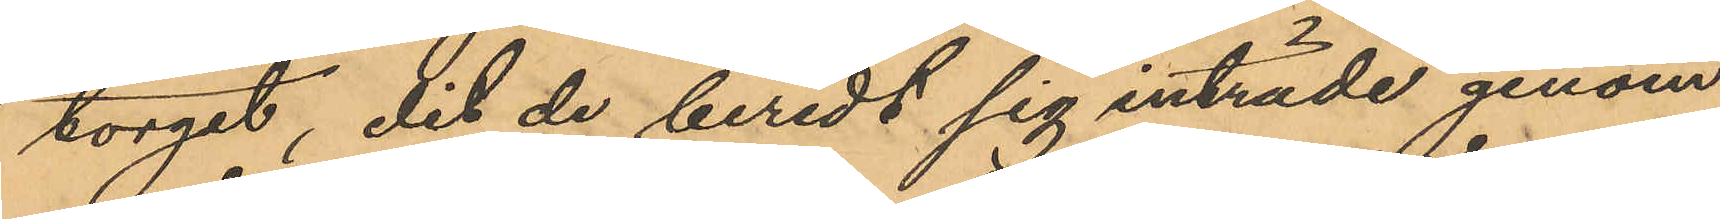torget, dit de beredt sig inträde genom
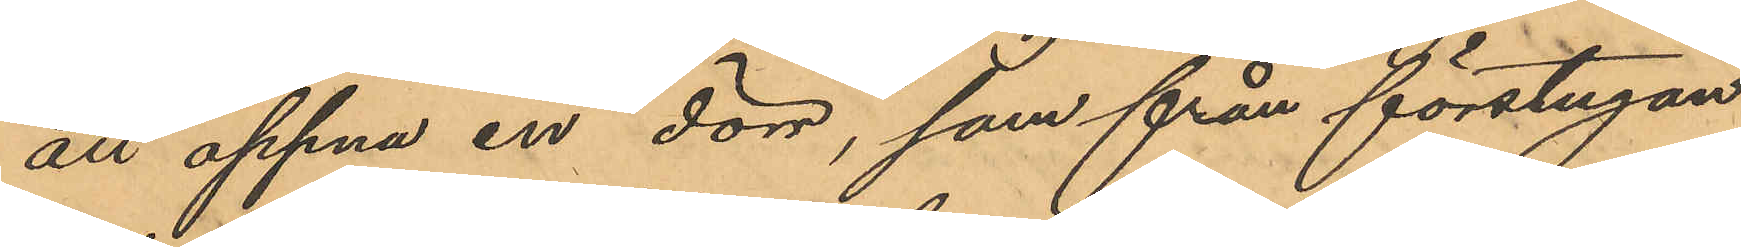att öppna en dörr, som från förstugan
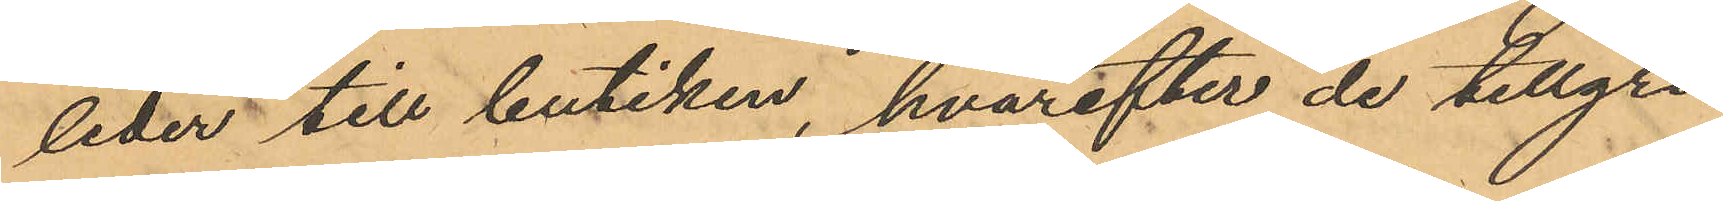leder till butiken, hvarefter de tillgri¬
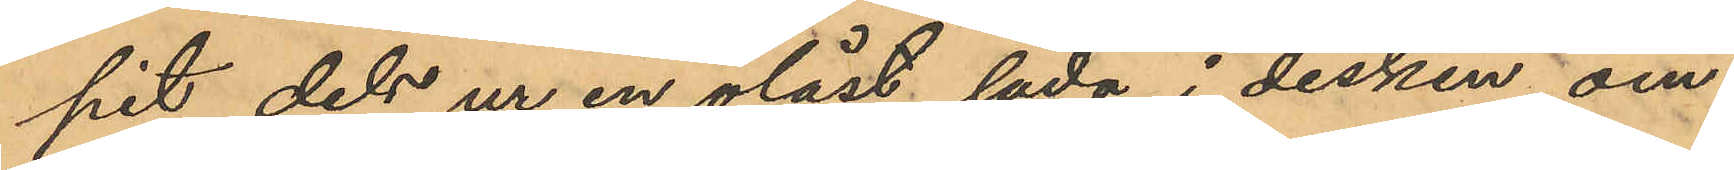pit dels ur en olåst låda i disken om¬
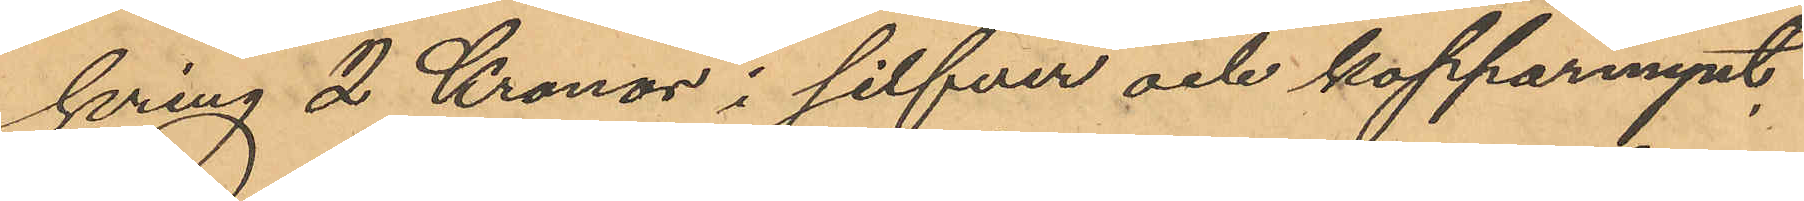kring 2 Kronor i silfver och kopparmynt,
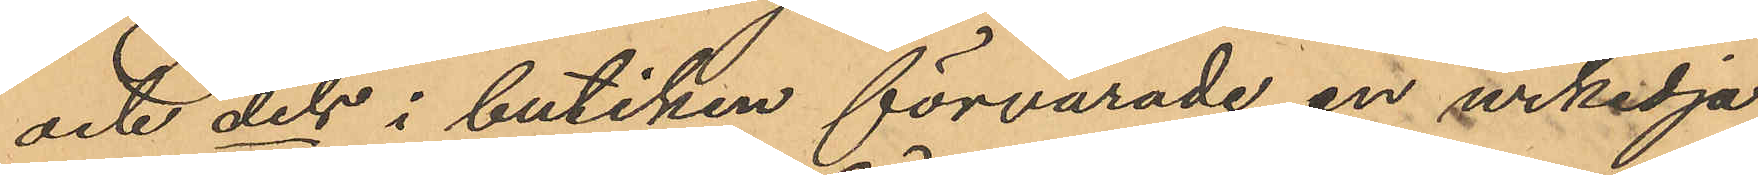och dels i butiken förvarade en urkedja
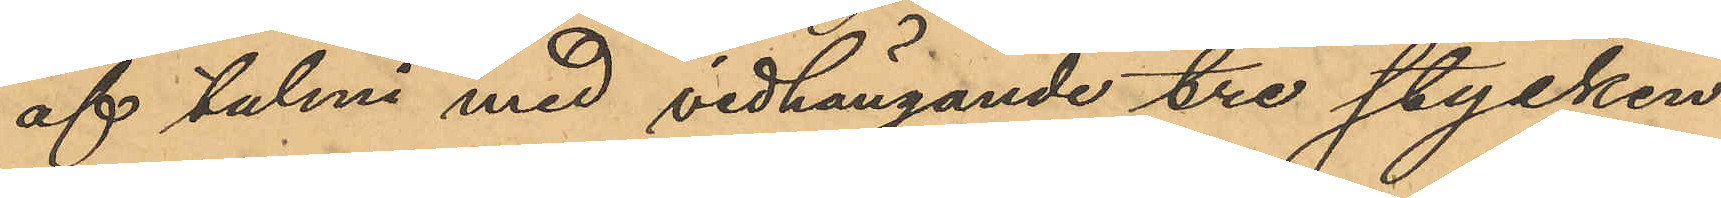af talmi med vidhängande tre stycken
